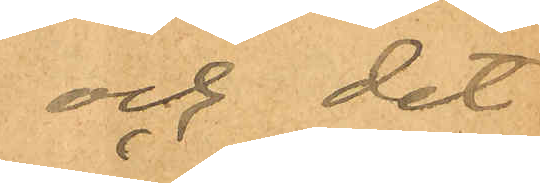och det
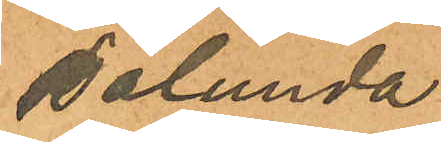sålunda
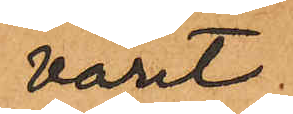varit
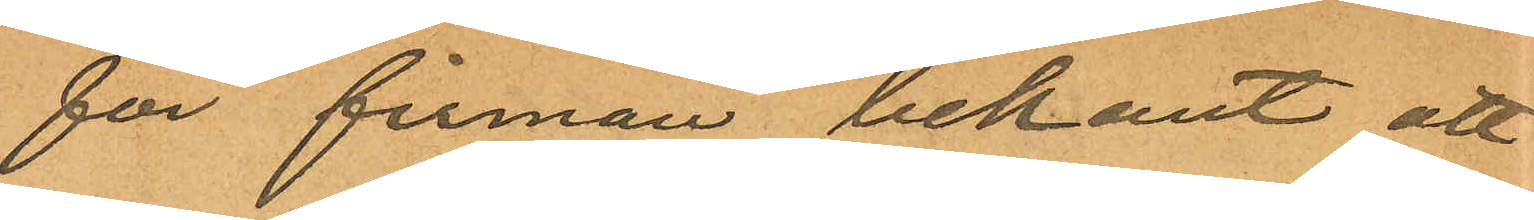för firman bekant att
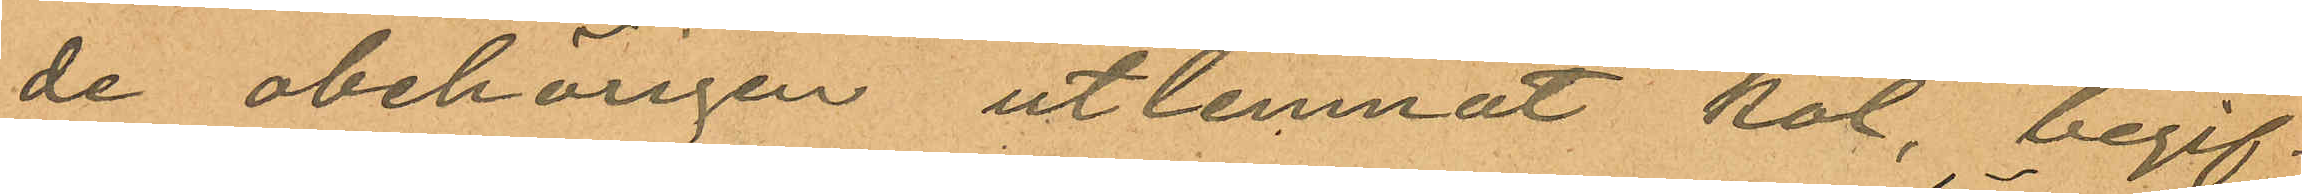de obehörigen utlemnat kol, begif¬
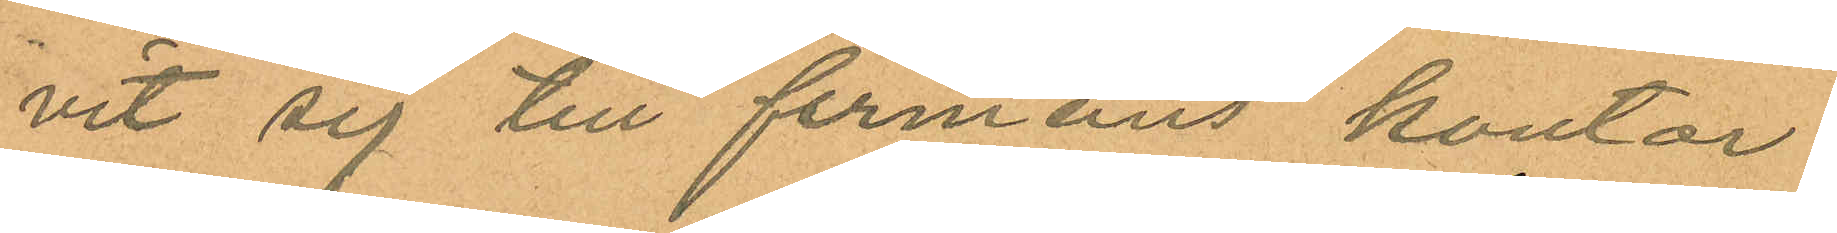vit sig till firmans kontor
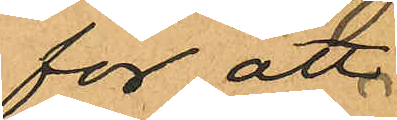för att
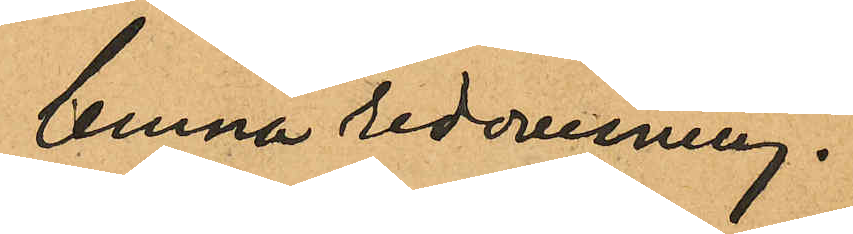lemna redovisning.
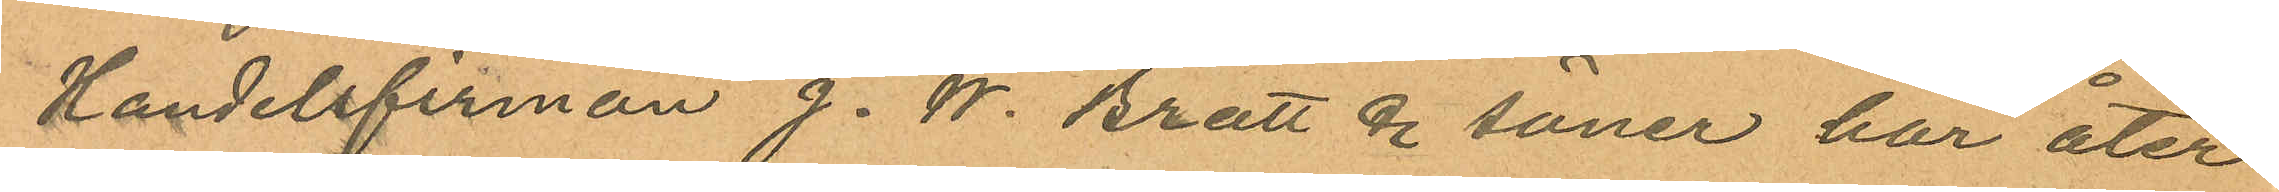Handelsfirman J. W. Bratt & söner har åter
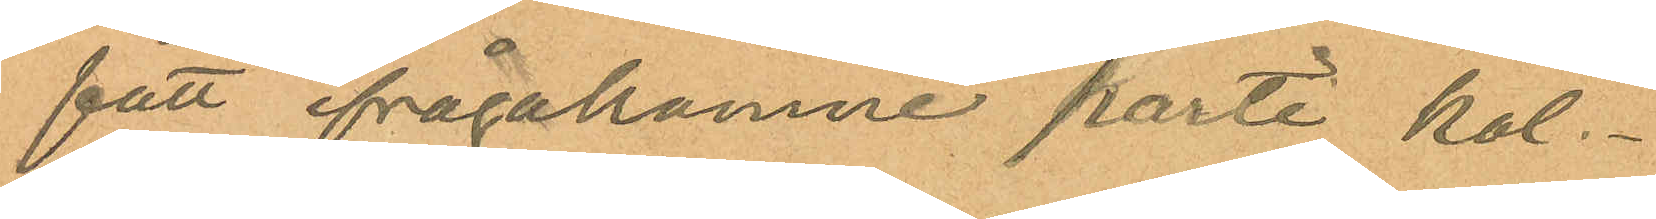fått ifrågakomne partI kol.
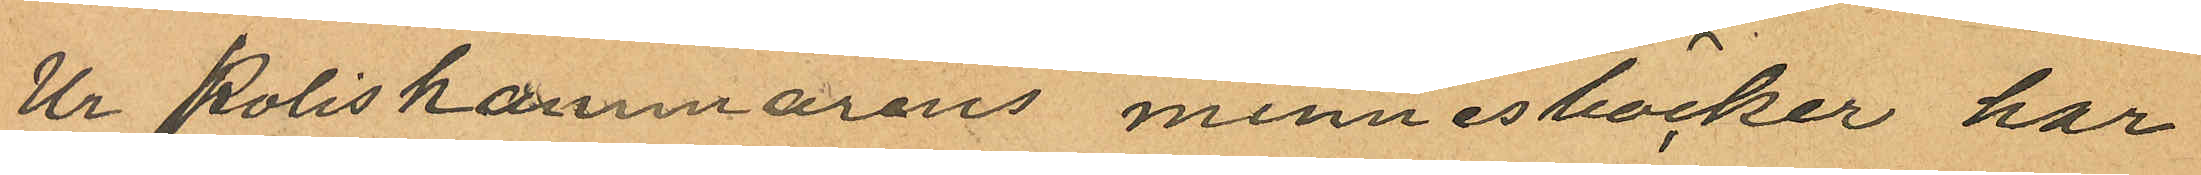Ur Poliskammarens minnesböcker har
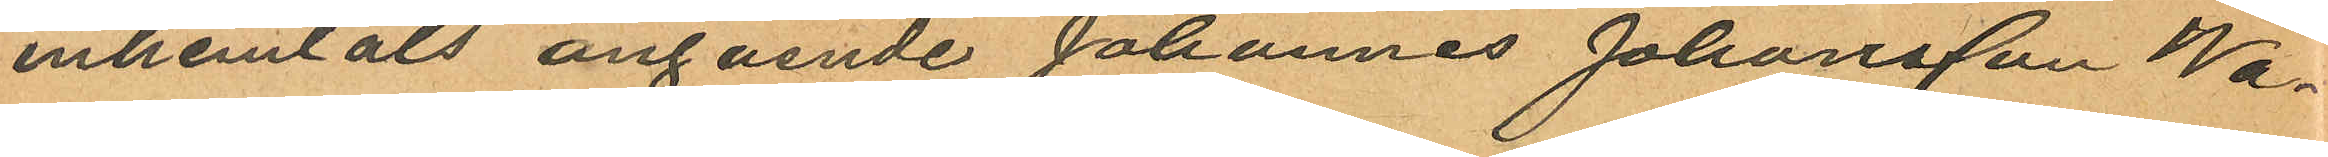inhemtats angående Johannes Johansson Wa¬
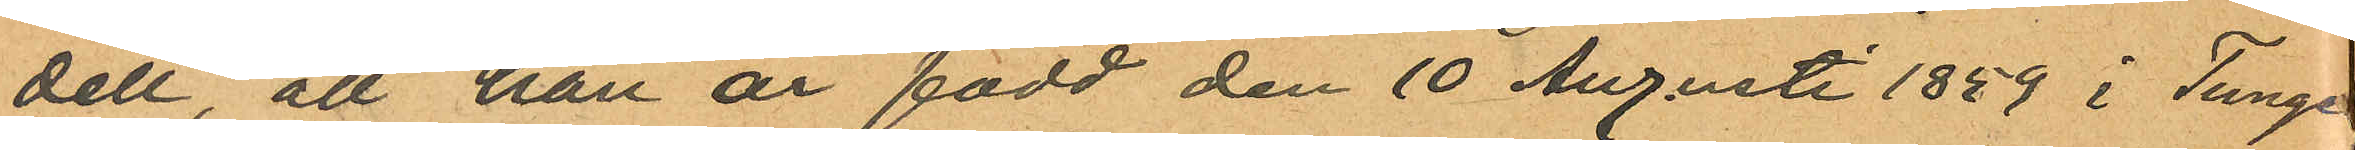dell, att han är född den 10 Augusti 1859 i Tunge
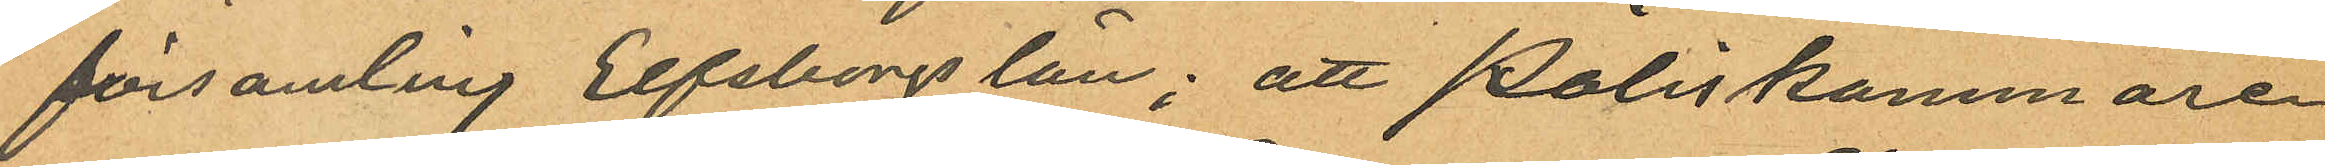församling Elfsborgs län; att Poliskammaren
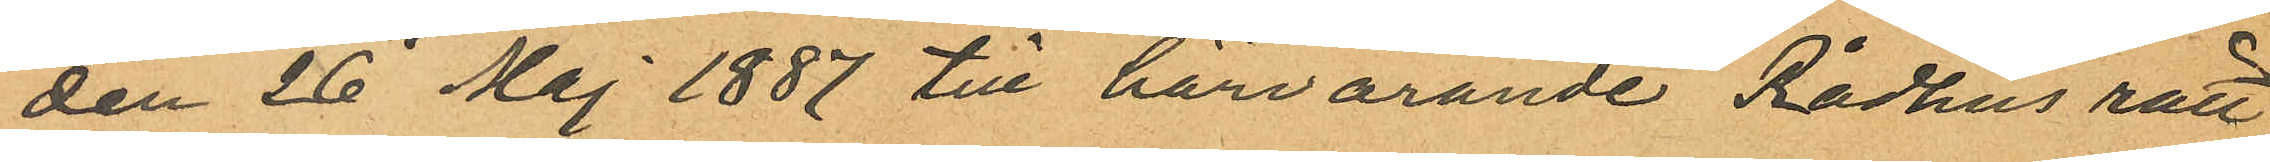den 26 Maj 1887 till härvarande Rådhus rätt
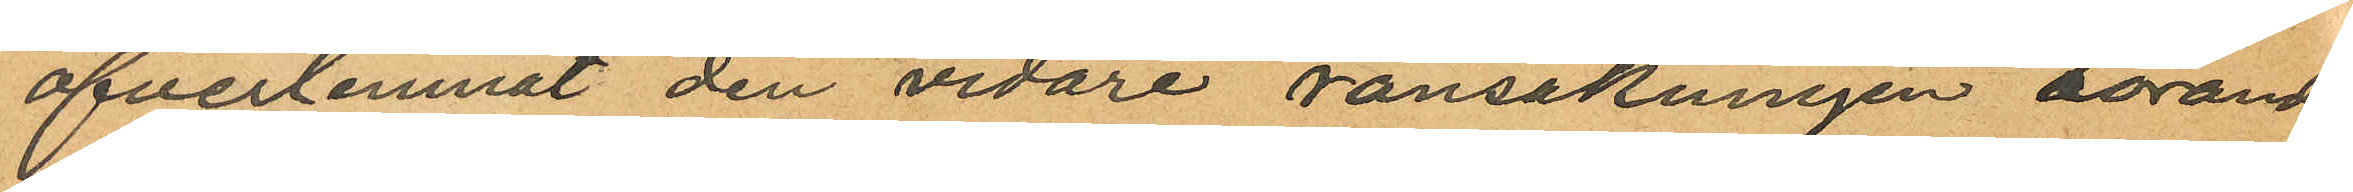öfverlemnat den vidare ransakningen rörande
